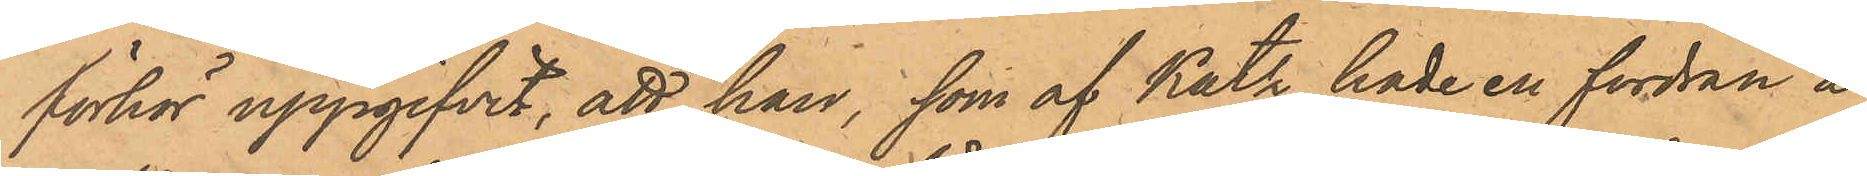förhör uppgifvit, att han, som af Katz hade en fordran å
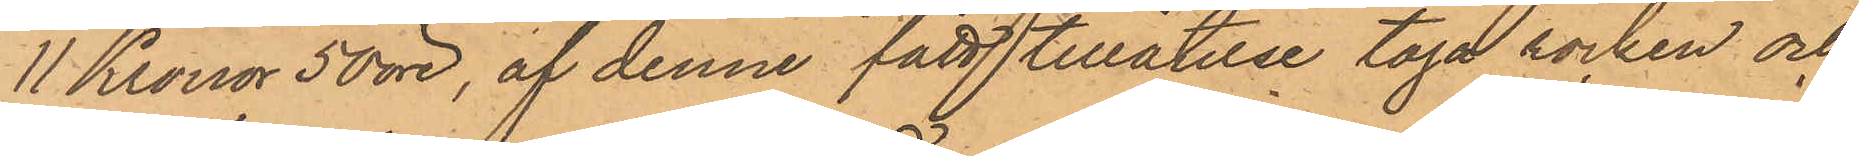11 Kronor 50 öre, af denne fått tillåtelse taga rocken och
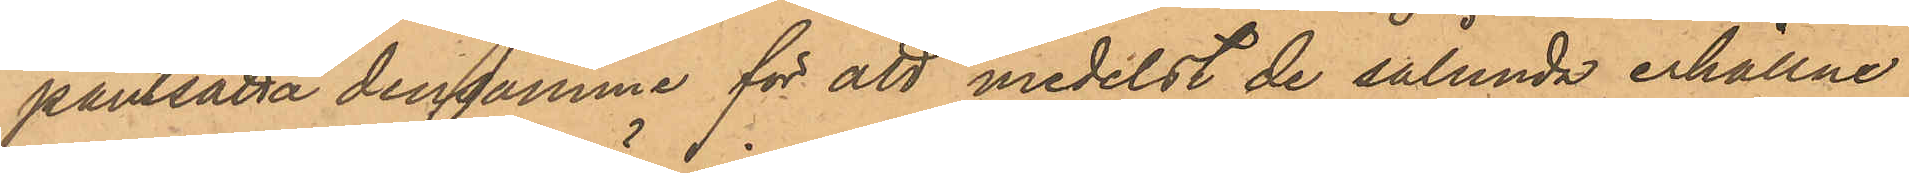pantsatta densamma för att medelst de sålunda erhållne
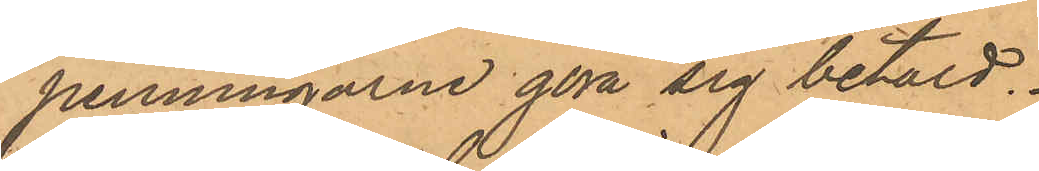penningarne göra sig betald.
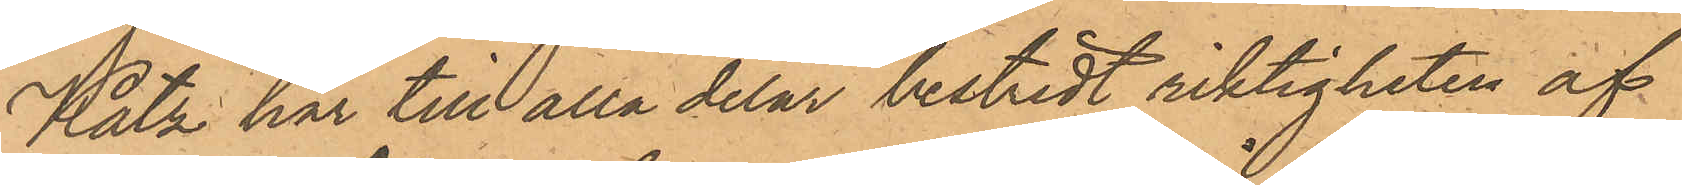Katz har till alla delar bestridt riktigheten af¬
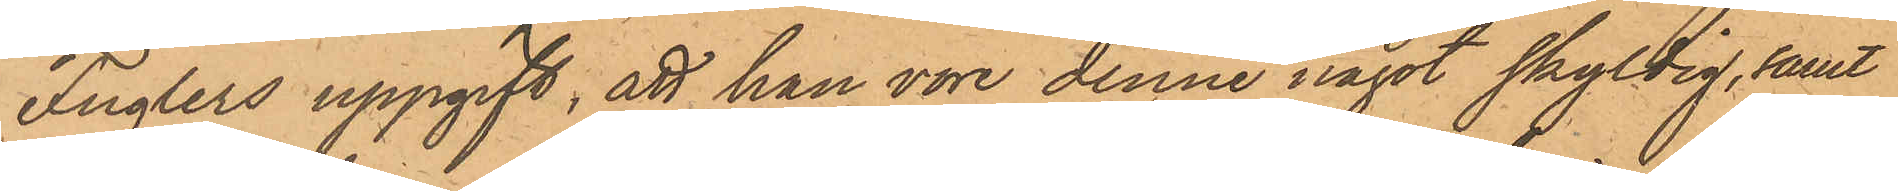Fuglers uppgift, att han vore denne något skyldig, samt
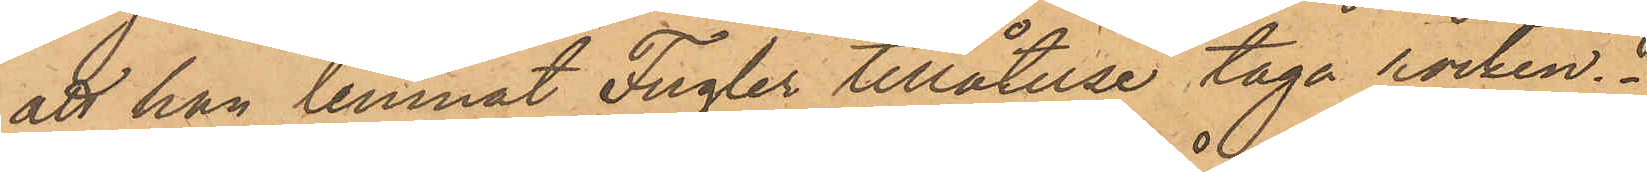att han lemnat Fugler tillåtelse taga rocken.
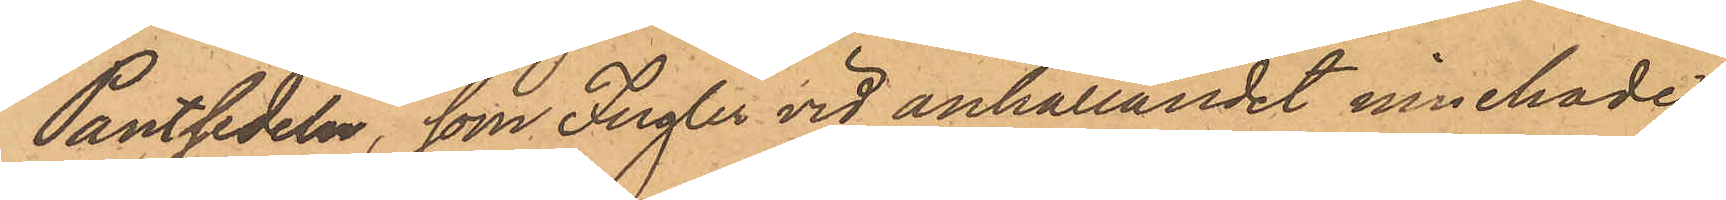Pantsedeln, som Fugler vid anhållandet innehade,
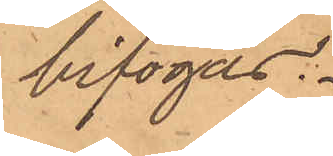bifogas.
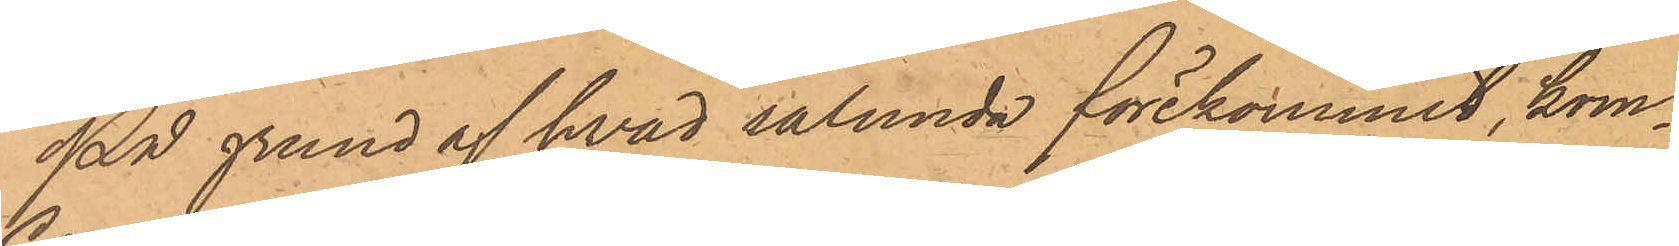På grund af hvad sålunda förekommit, kom¬
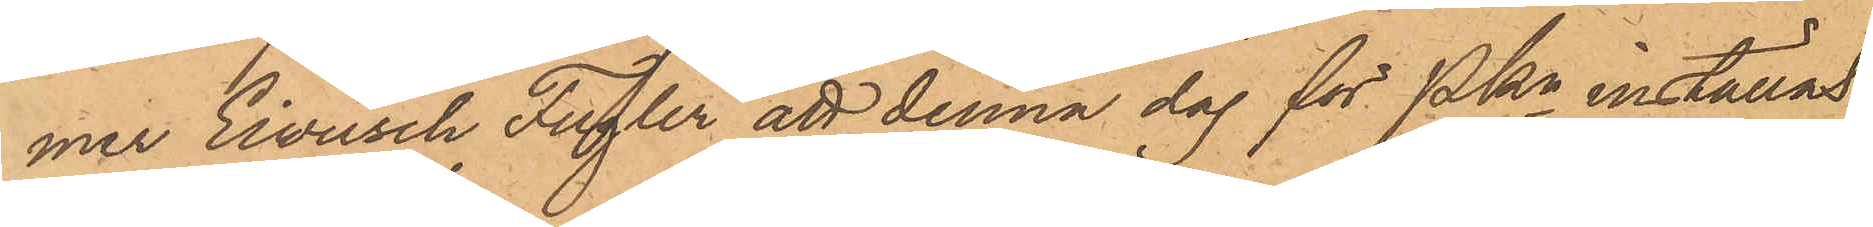mer Einusch Fugler att denna dag för PKn inställas.
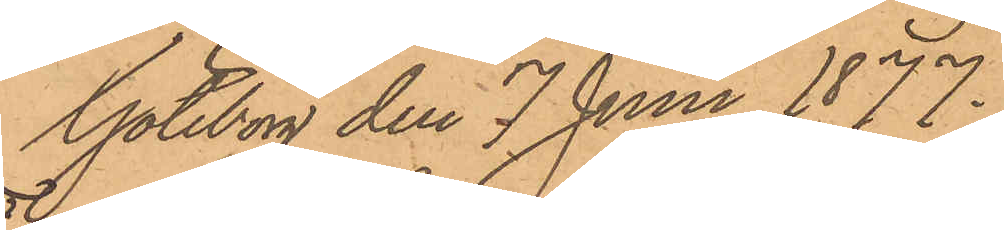Göteborg den 7 Juni 1877.
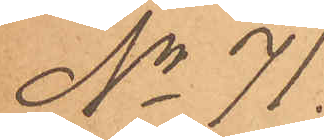No 71.
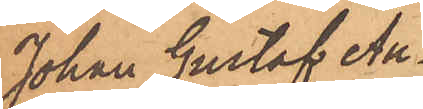Johan Gustaf Au¬
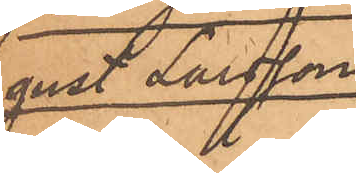gust Larsson
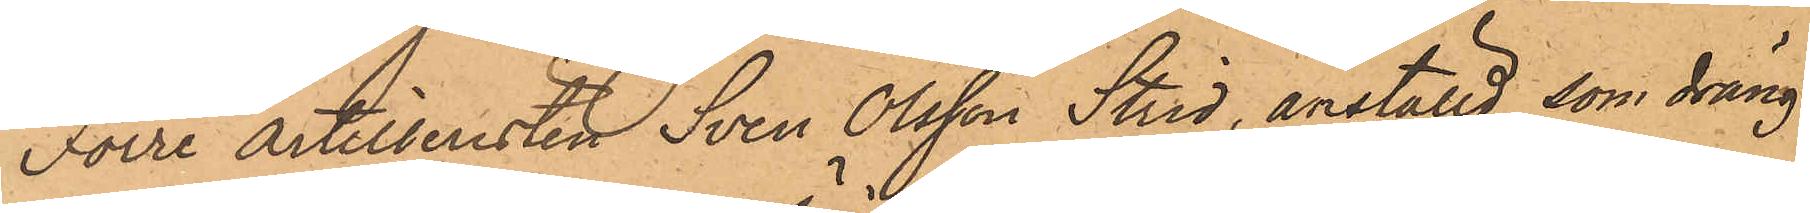Förre Artilleristen Sven Olsson Strid, anställd som dräng
